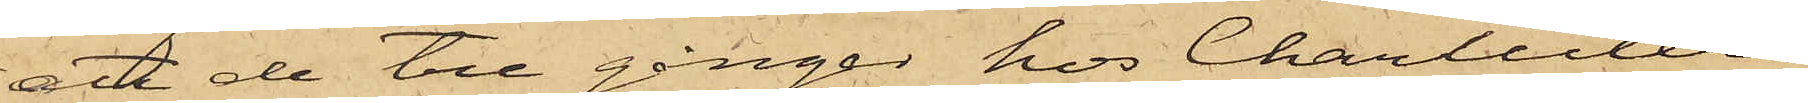att de tre gånger hos Charcuteri¬
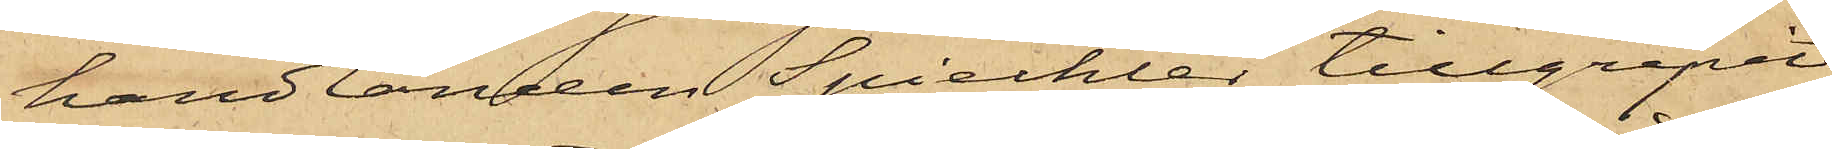handlanden Spiechler tillgripit
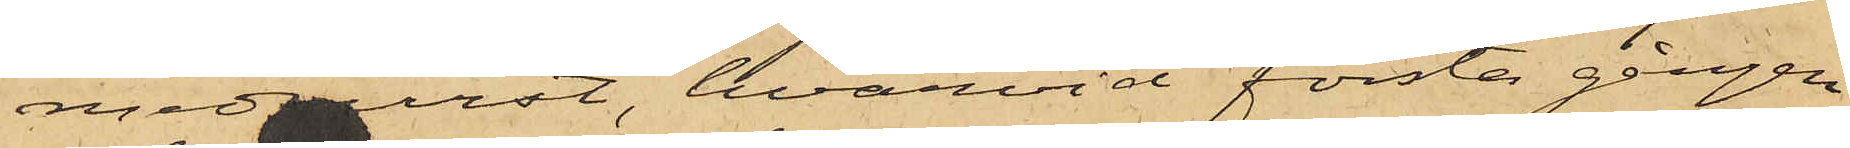medvurst, hvarvid första gången
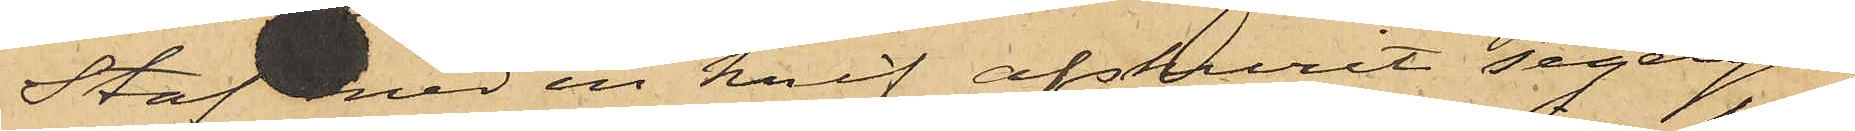Staf med en knif afskurit segelgar¬
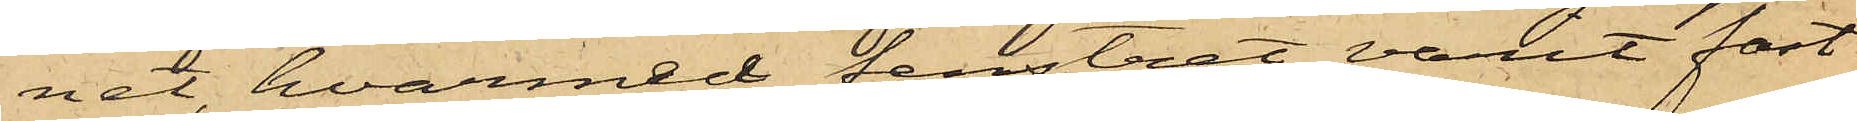net, hvarmed fenstret varit fast¬
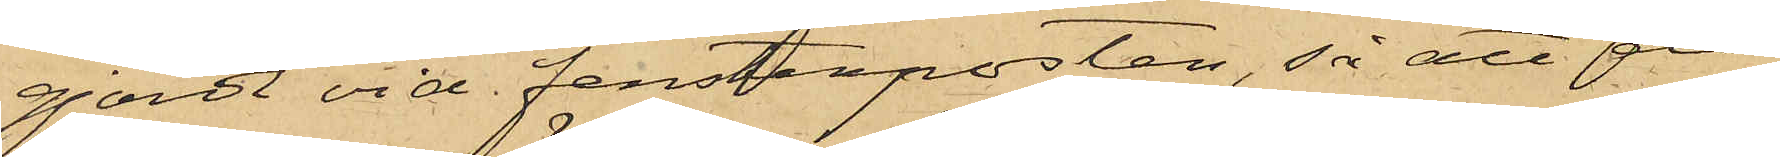gjordt vid fensterposten, så att de
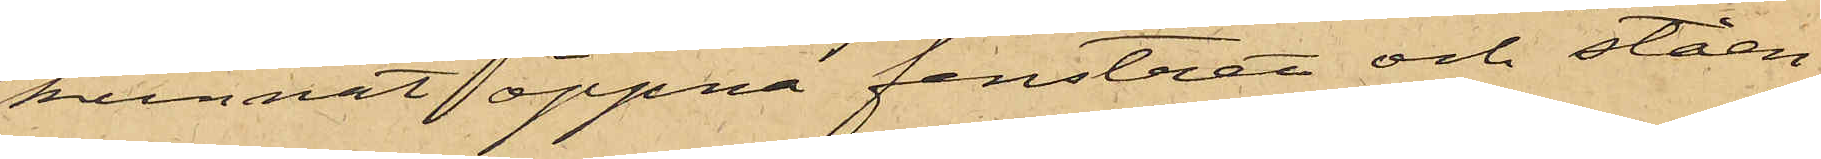kunnat öppna fenstret och ståen¬
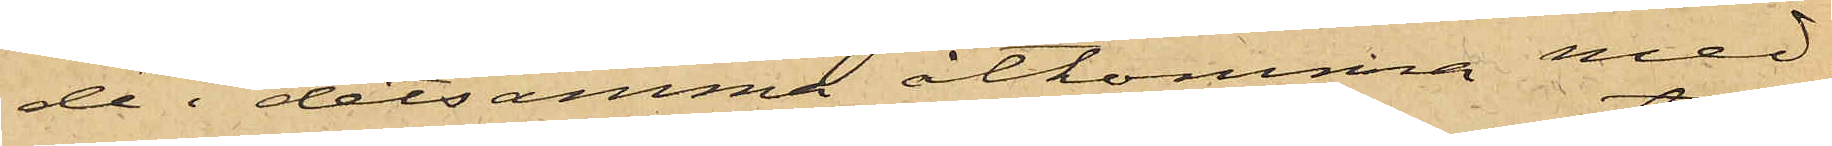de i detsamma åtkomma med¬
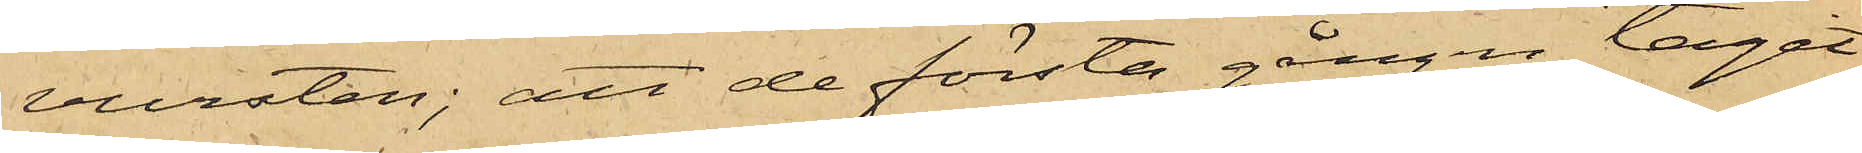vursten; att de första gången tagit
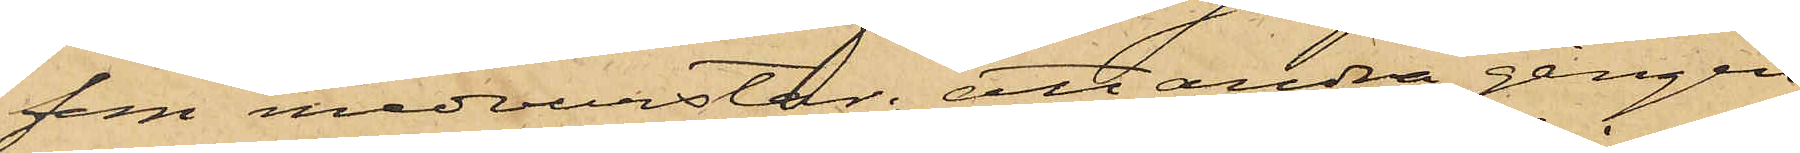som medvurstar; att andra gången
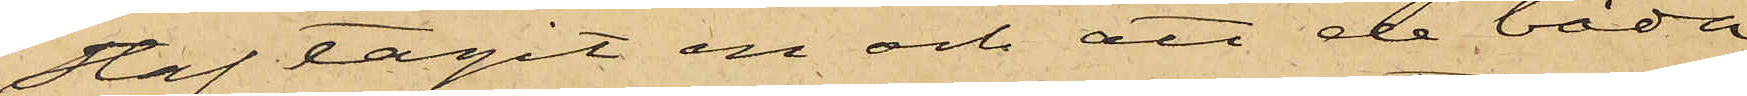Staf tagit en och att de båda
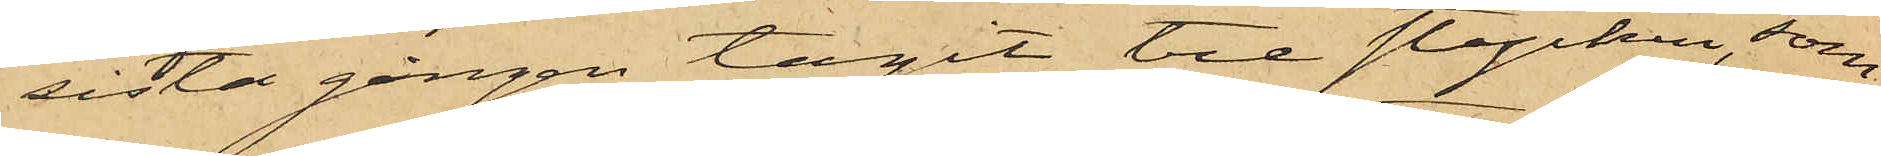sista gången tagit tre stycken, som
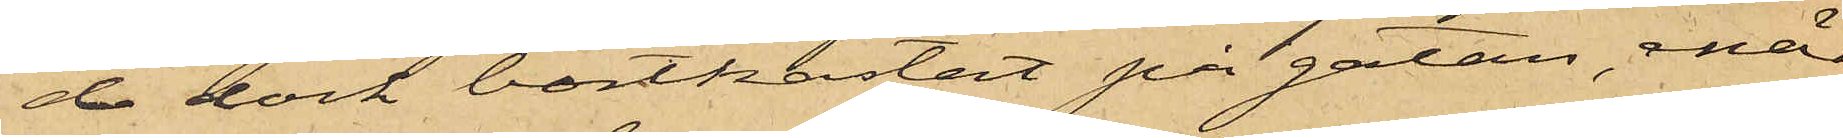de dock bortkastat på gatan, enär
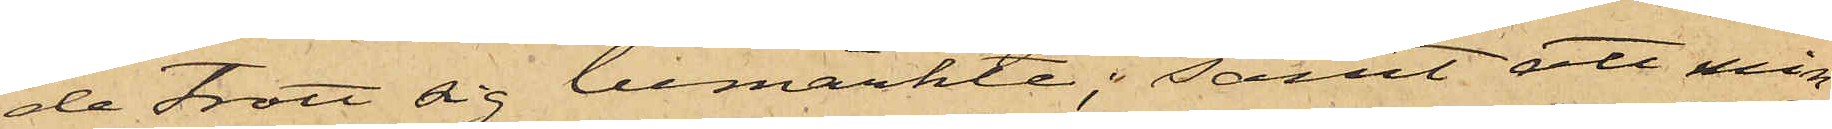de trott sig bemärkte; samt att min¬
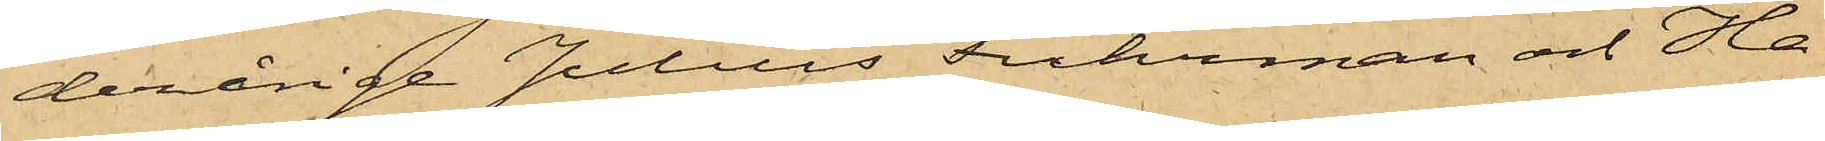derårige Julius Fuhrman och Ha¬
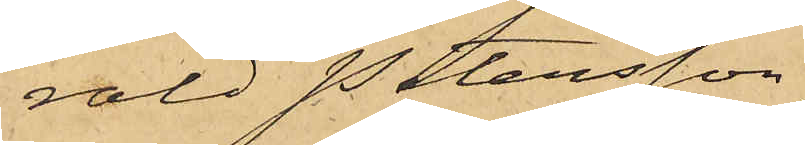rald Petersson,
